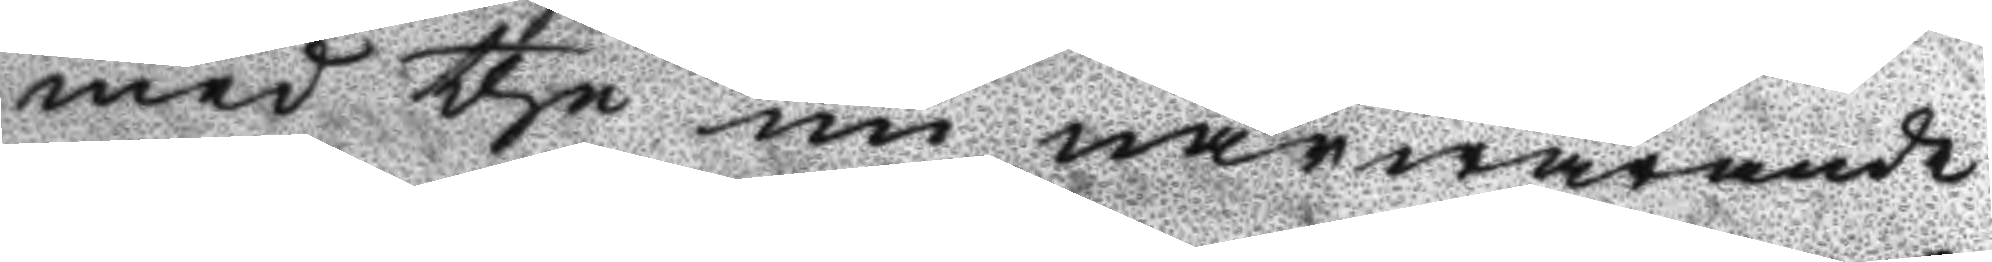med the nu närwarande
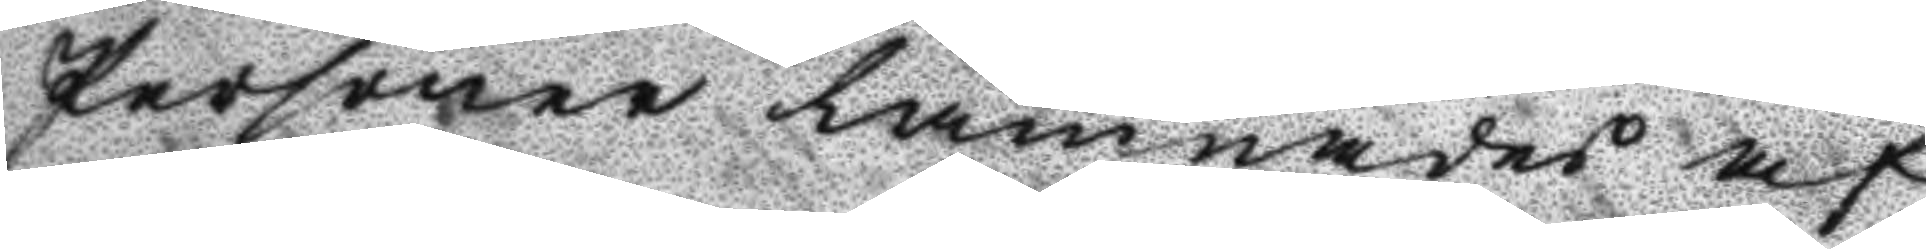Personer lämnades af¬
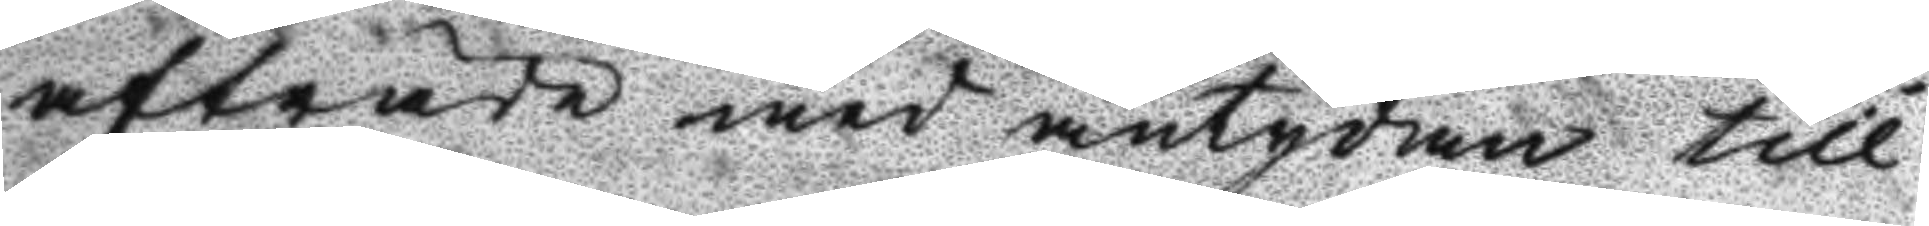afträde med antydan till
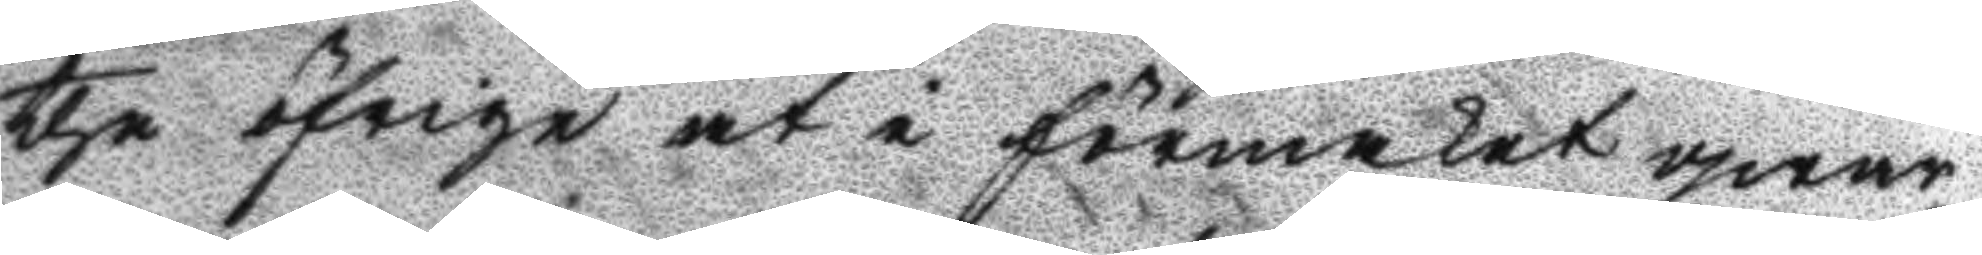the öfrige at i förmaket qwar¬
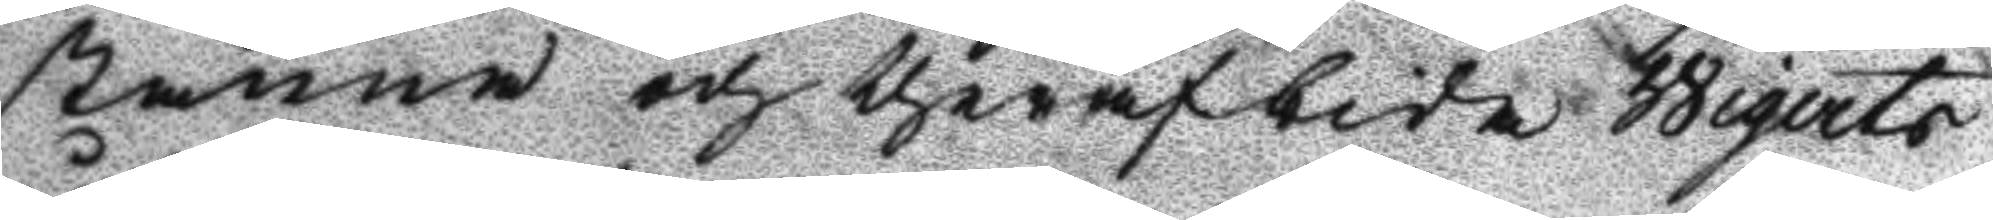stanna och therafbida Wigerts
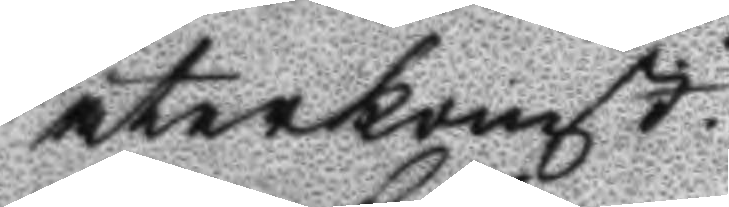återkomst.
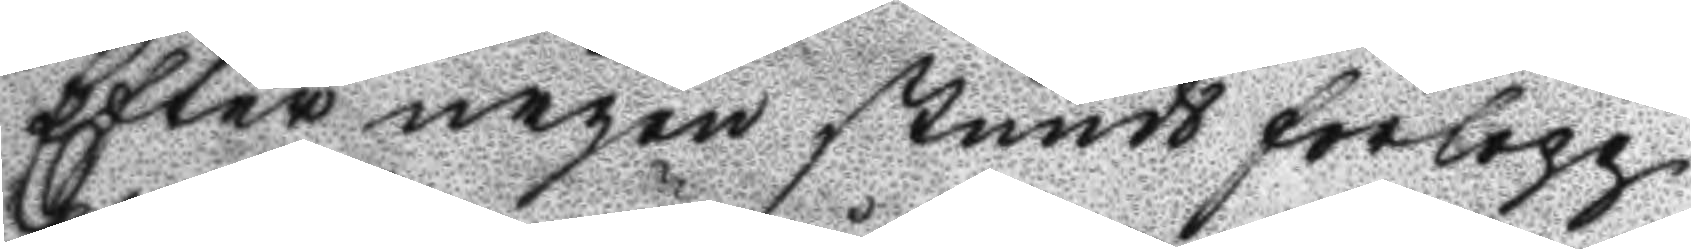Efter någon stunds förlopp
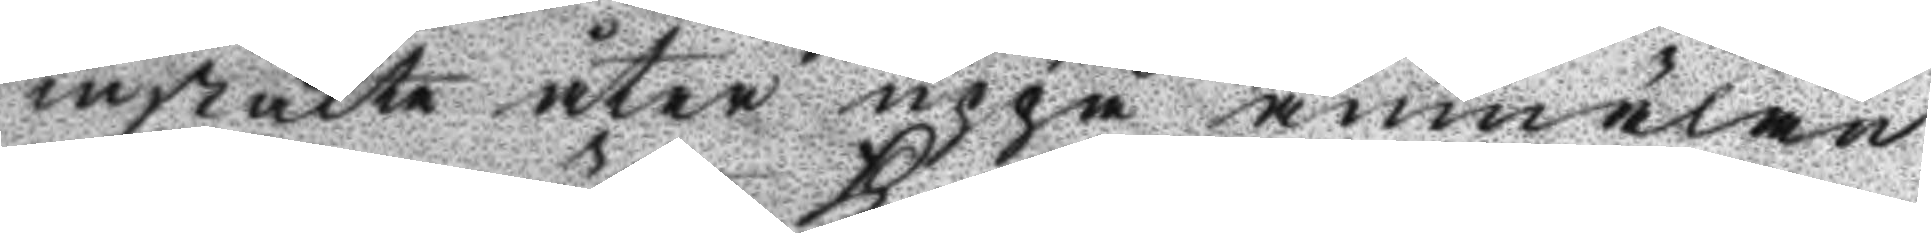instälte åter uppå anmälan
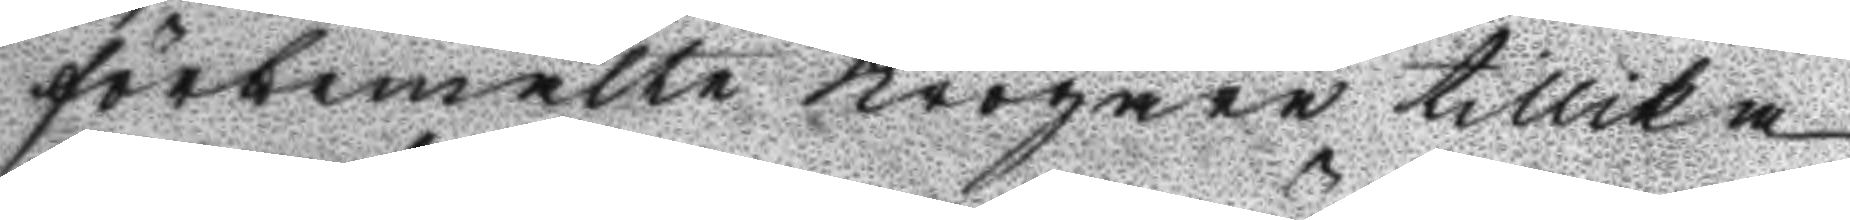förbemälte Krögare tillika
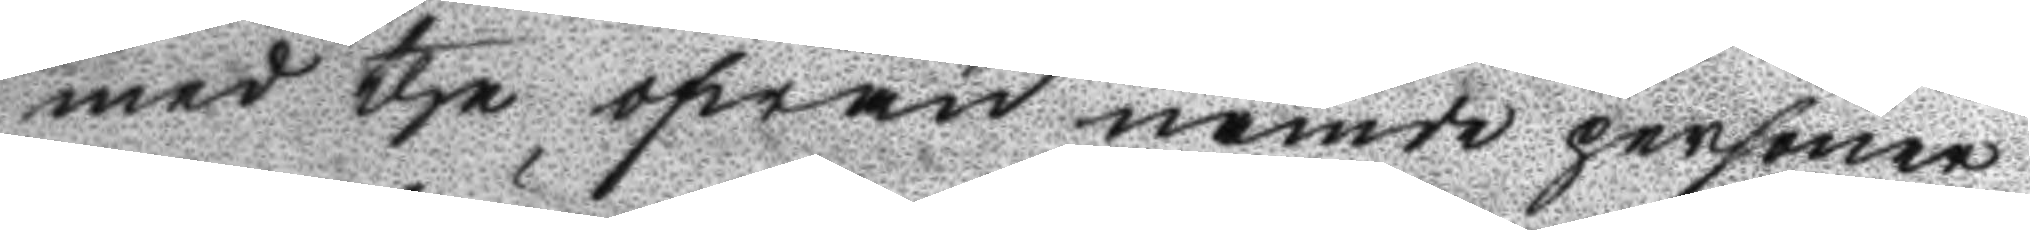med the ofwan nämde personern
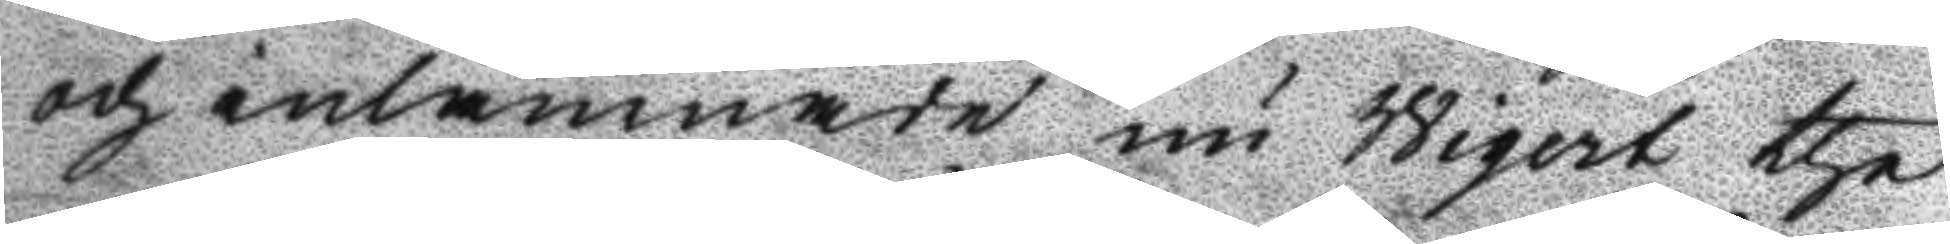och inlämnade nu Wigert the
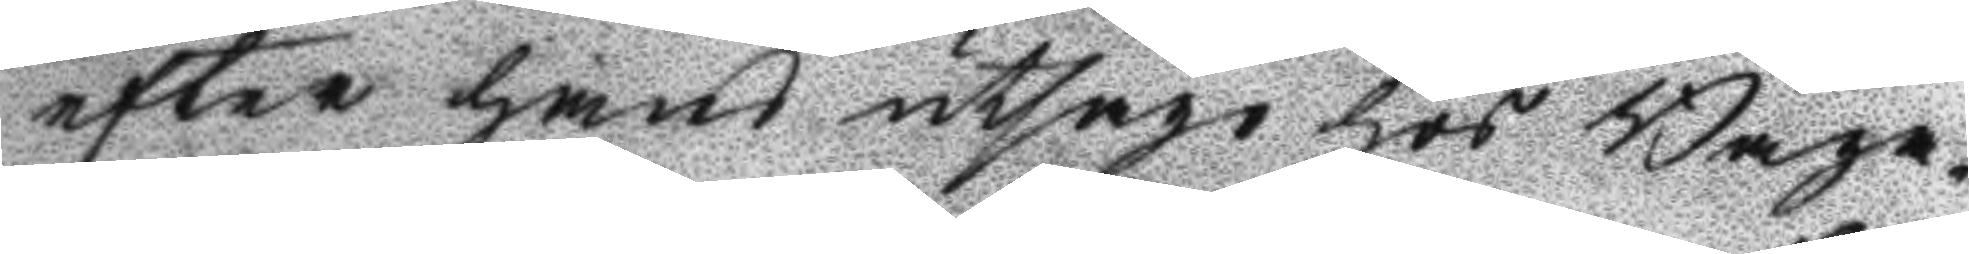efter hans utsago hos Baga¬
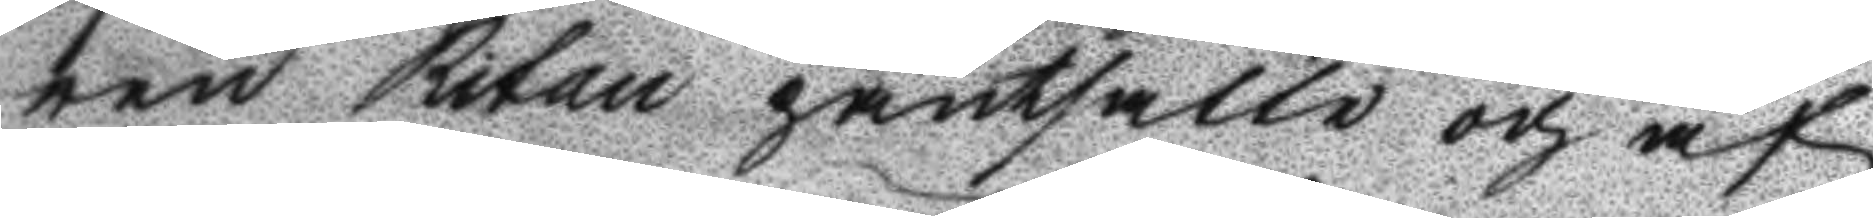ren Ritan pantsatte och af
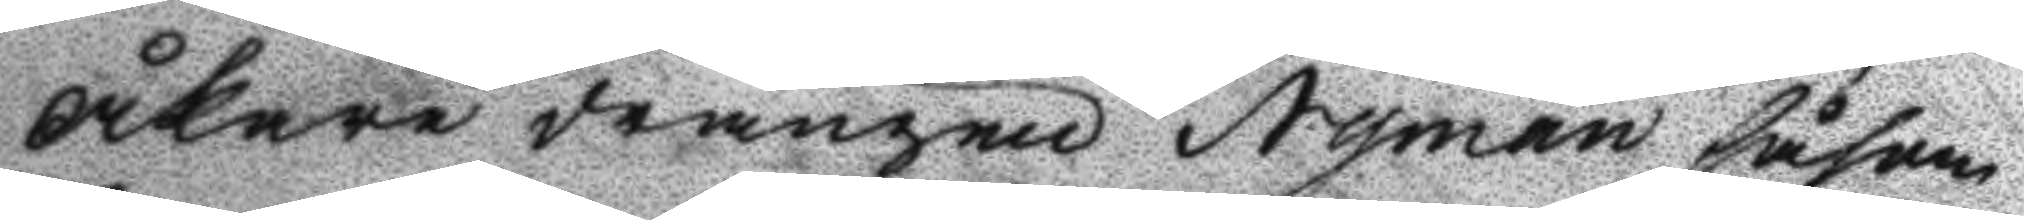Åkare drängen Nyman såsom
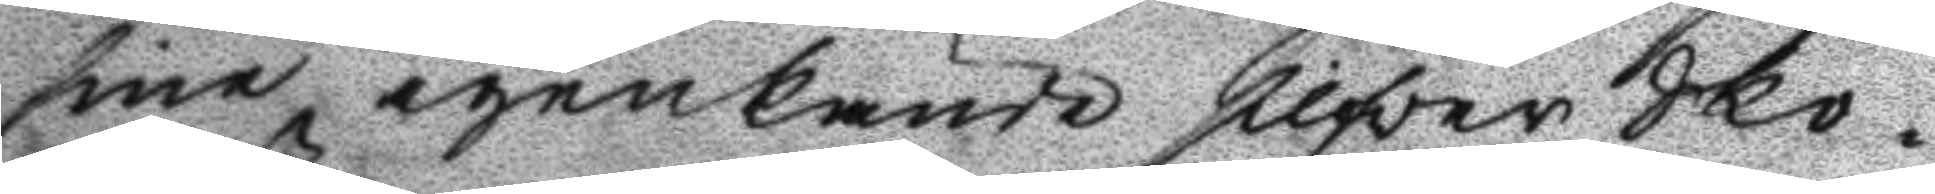sine igenkönde silfver Sko¬
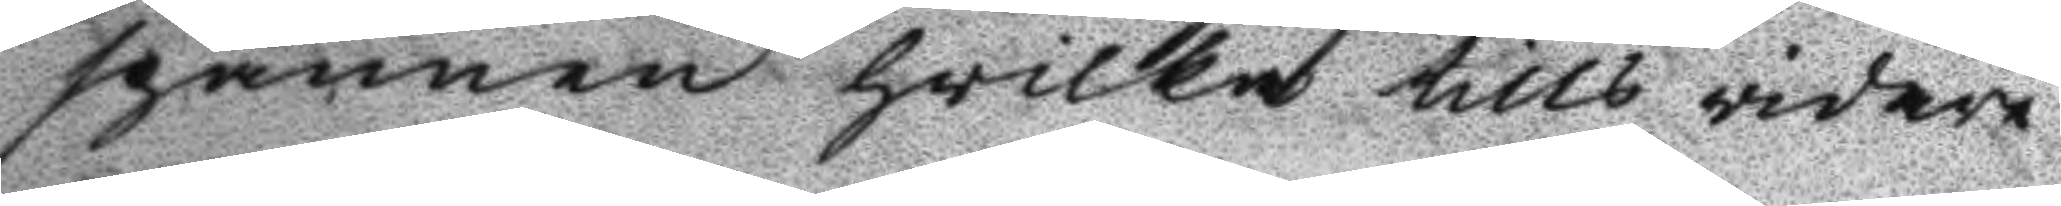spännen hwilka tills vidare
